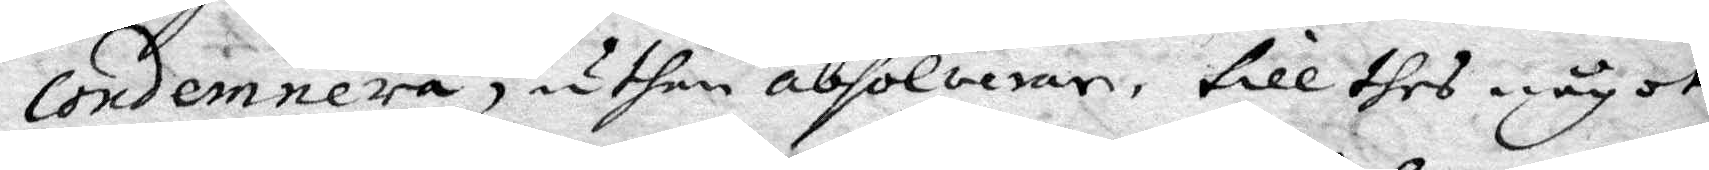condemnera, uthan absolverar, till dhes något
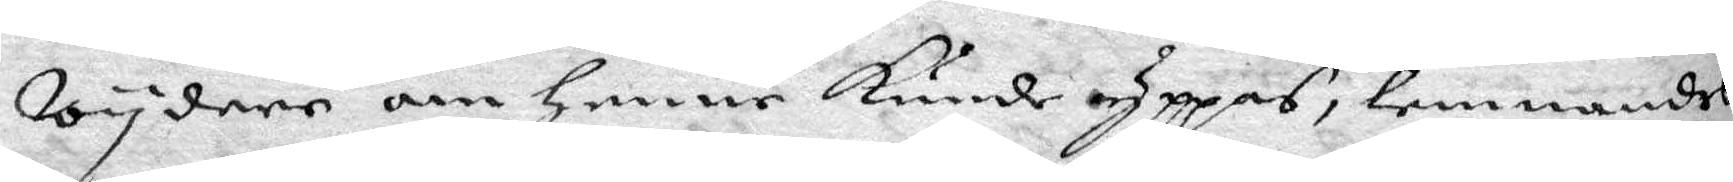wydare om henne kunde yppas, lemnandes
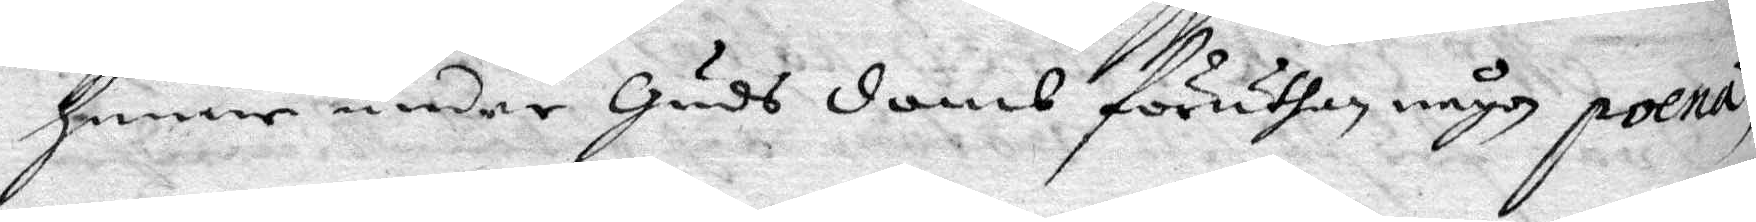henne under Guds domb föruthan någon poena
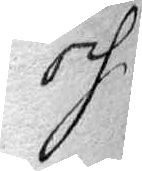och
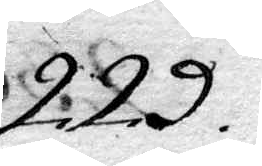229.
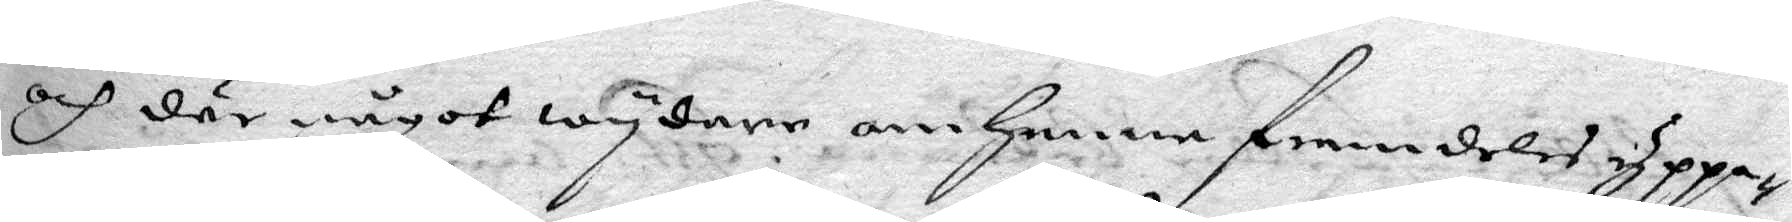och där något wydare om henne framdeles yppa¬
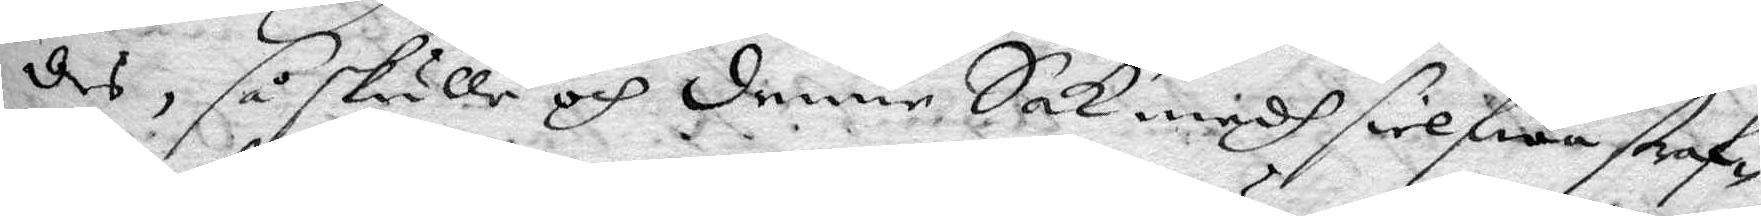des, så skulle och denne Sak medh sielfwa straf¬
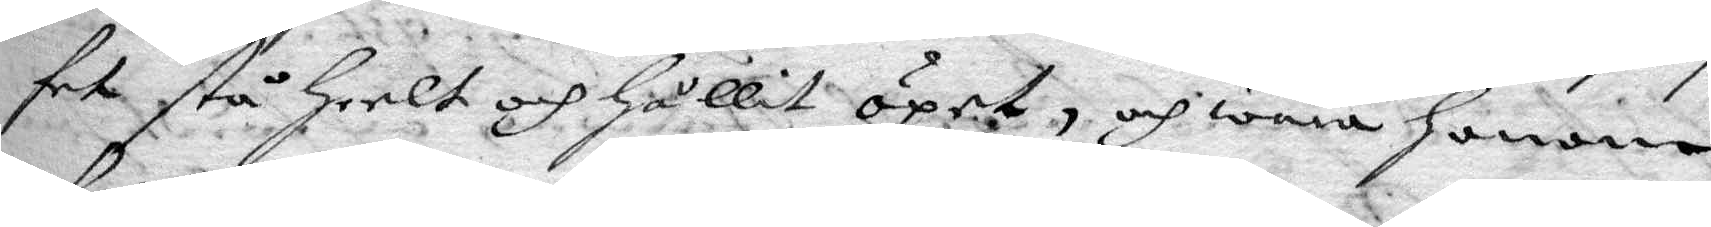fet stå heelt och hållit öpet, och wara honom
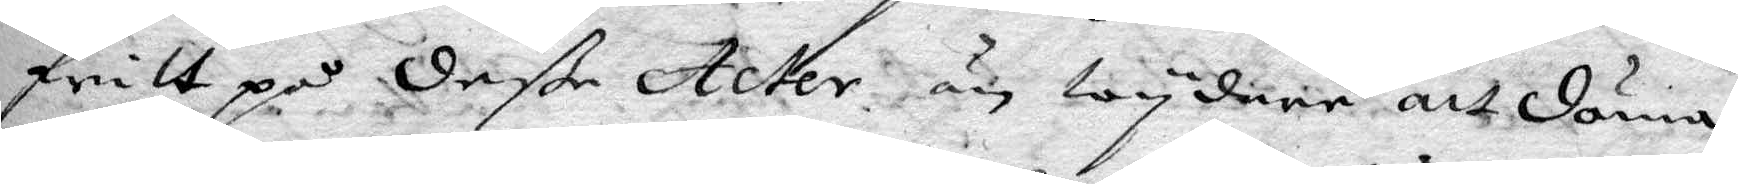fritt på deße Acter än wydare att döma,
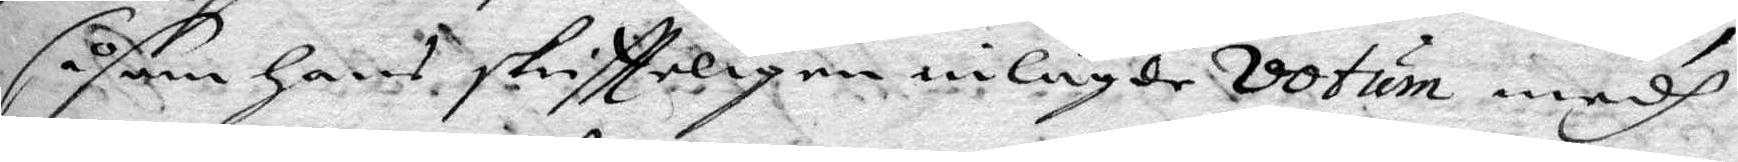såsom hans skriftteligen inlagde votum medh
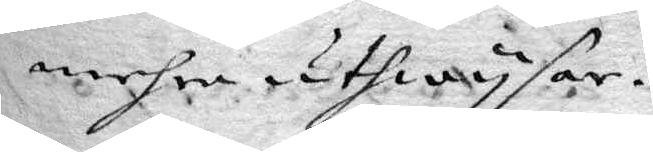mehra uthwysar.
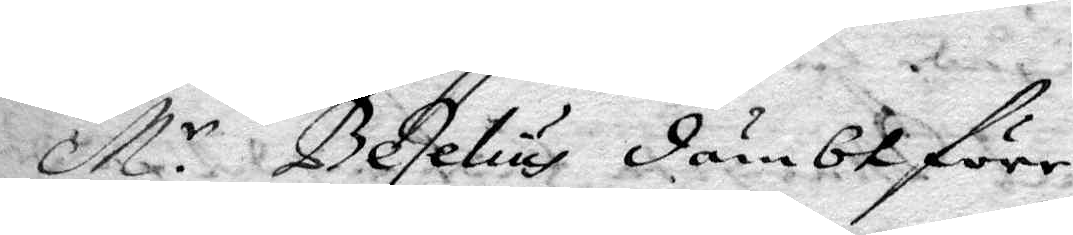M.r Beselius dömbt förr
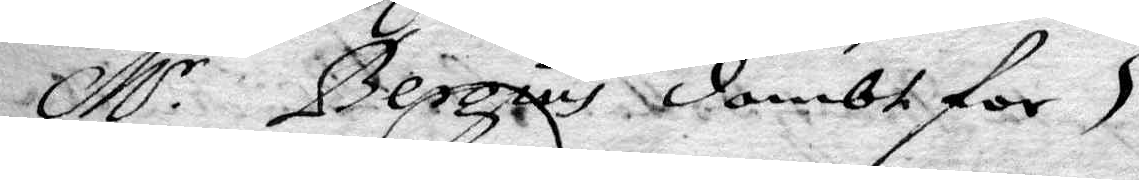M.r Bergius dombt for
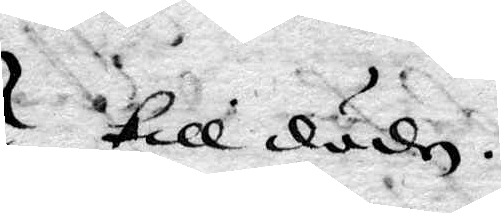till döden.
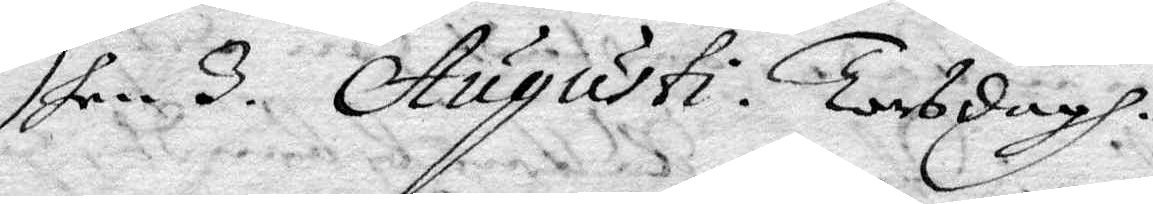Dhen 3. Augusti Torsdagh.
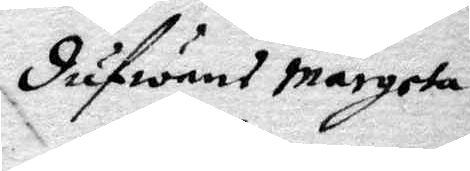dufwans margeta
